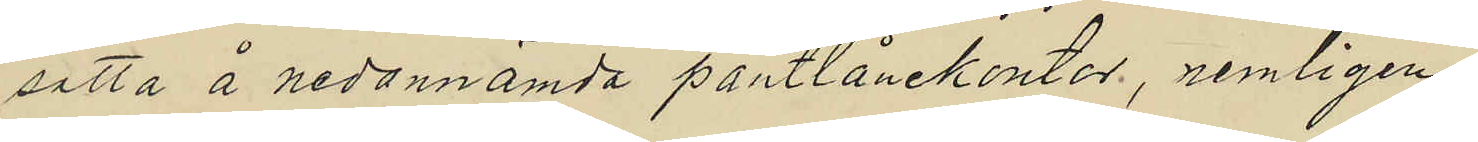satta å nedannämda pantlånekontor, nemligen:
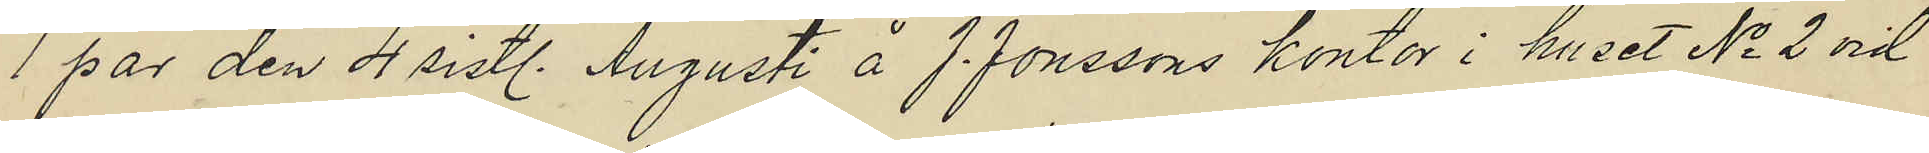1 par den 4 sistl. Augusti å J. Jonssons kontor i huset No 2 vid
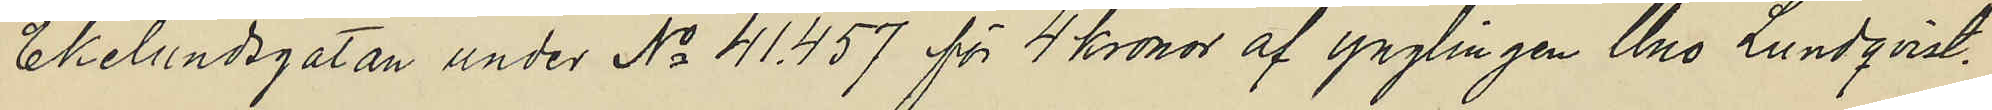Ekelundsgatan under No 41.457 för 4 kronor af ynglingen Uno Lundqvist.
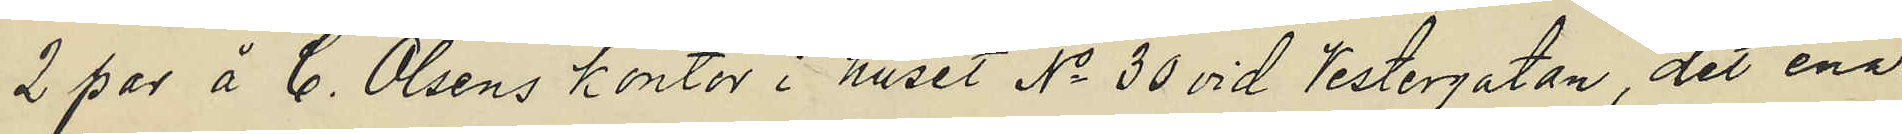2 par å C. Olsens kontor i huset No 30 vid Vestergatan, det ena
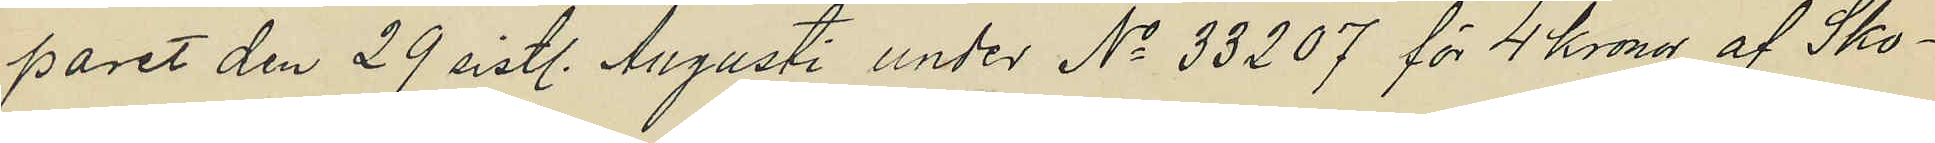paret den 29 sistl. Augusti under No 33207 för 4 kronor af Sko¬
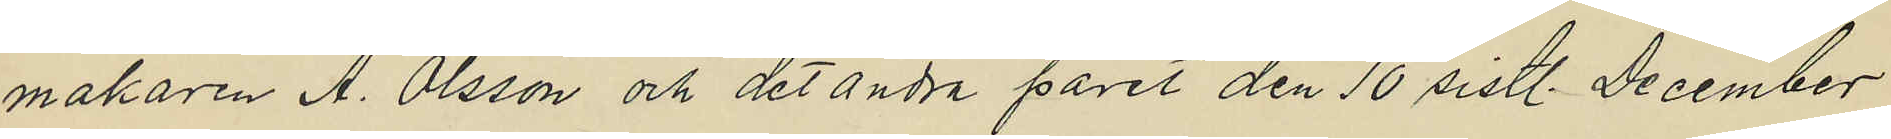makaren A. Olsson och det andra paret den 10 sistl. December
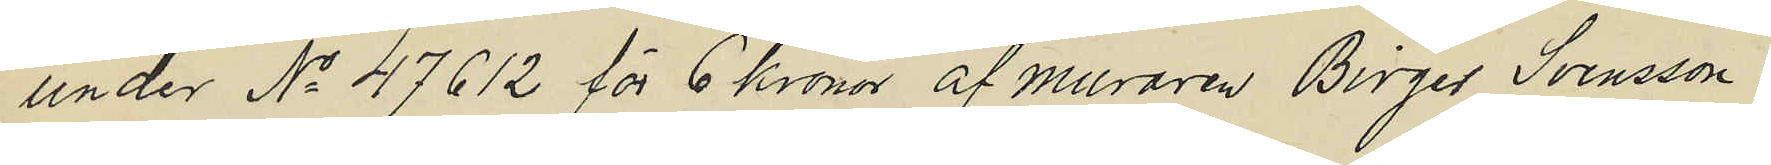under No 47612 för 6 kronor af muraren Birger Svensson.
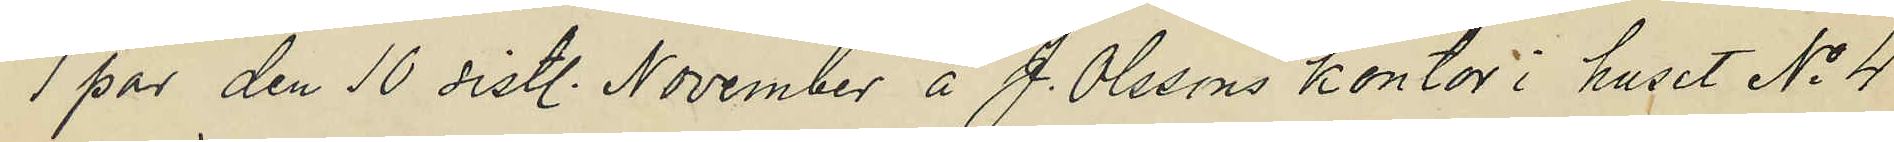1 par den 10 sist. November å J. Olssons kontor i huset No 4
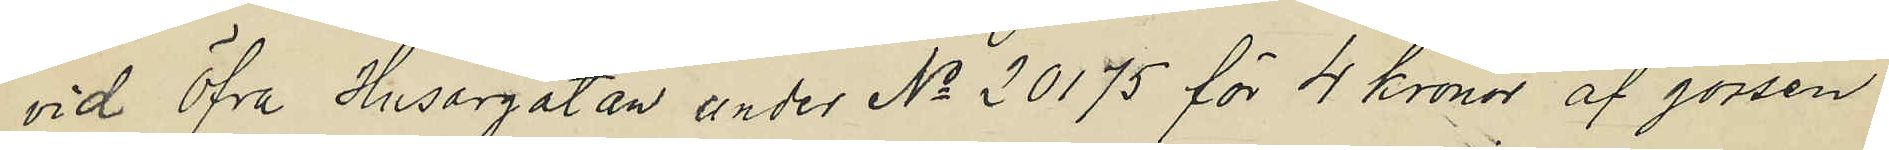vid Öfra Husargatan under No 20175 för 4 kronor af gossen
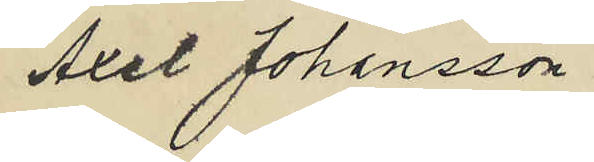Axel Johansson.
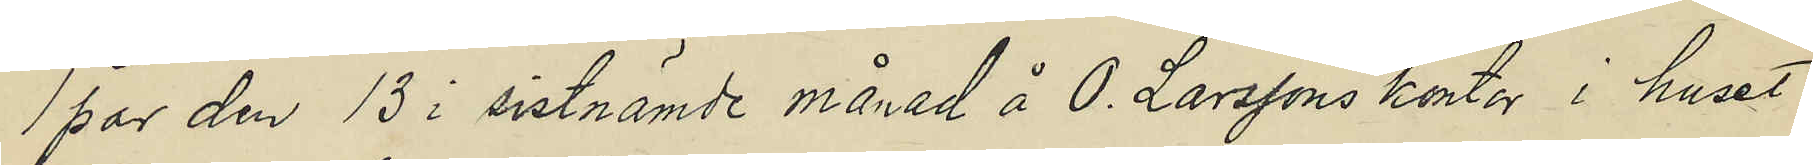1 par den 13 i sistnämde månad å O. Larssons kontor i huset
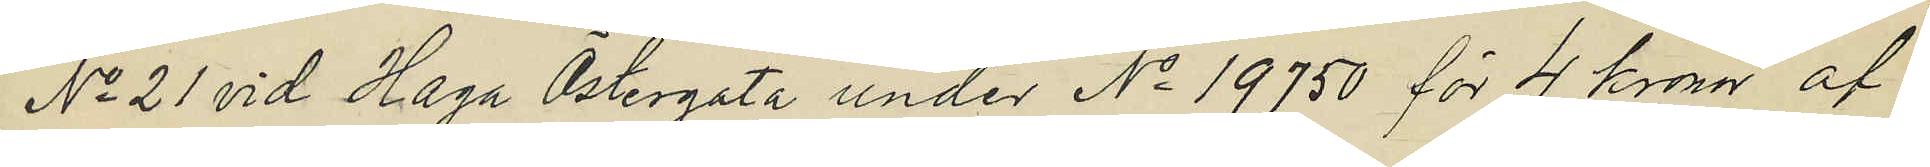No 21 vid Haga Östergata under No 19750 för 4 kronor af
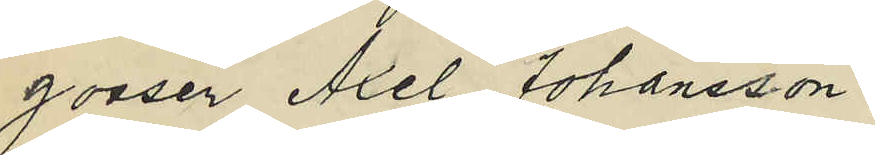gossen Axel Johansson.
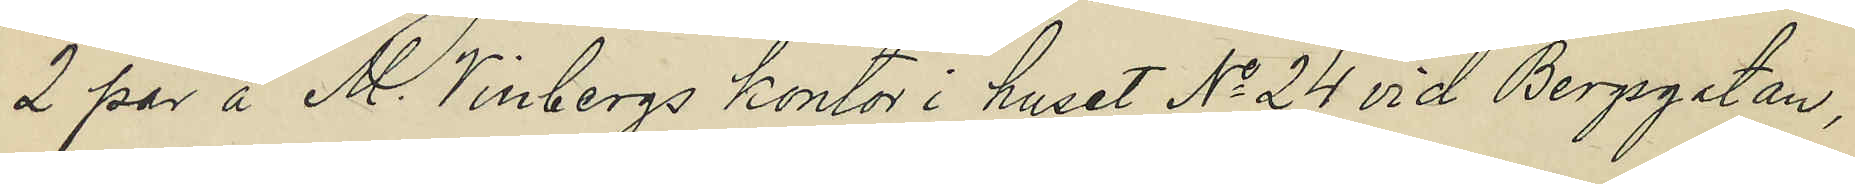2 par å M. Vinbergs kontor i huset No 24 vid Bergsgatan,
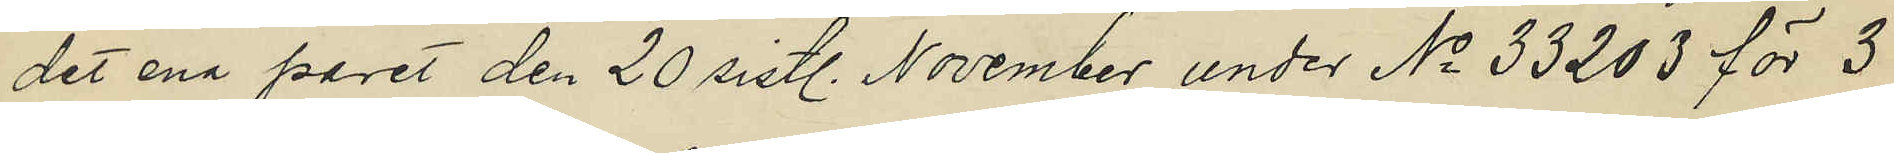det ena paret den 20 sistl. November under No 33203 för 3
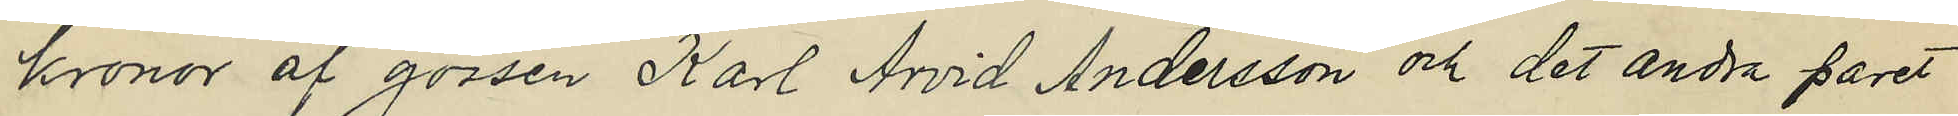kronor af gossen Karl Arvid Andersson och det andra paret
